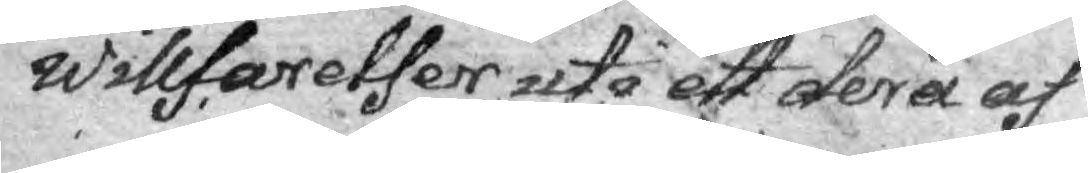willfarelser uti ett dera af
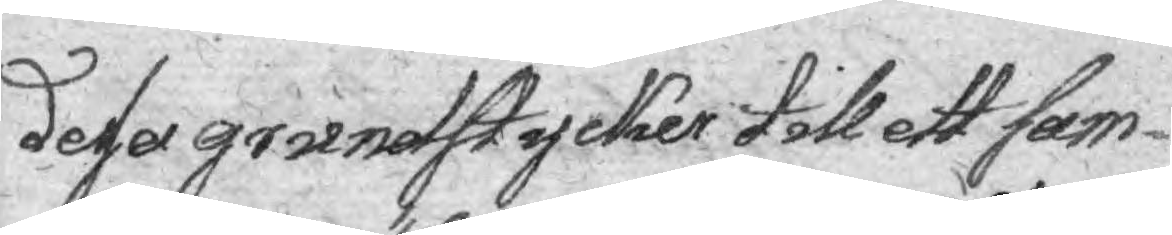desa grundstycker till ett sam¬
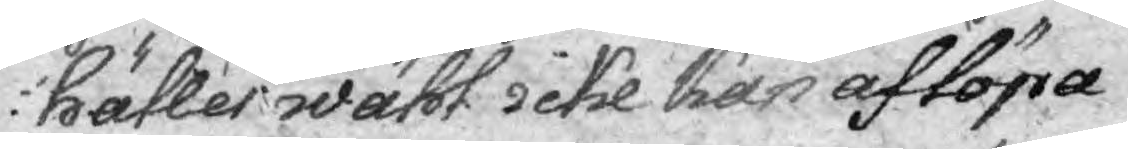hälles wähl icke kan aflöpa
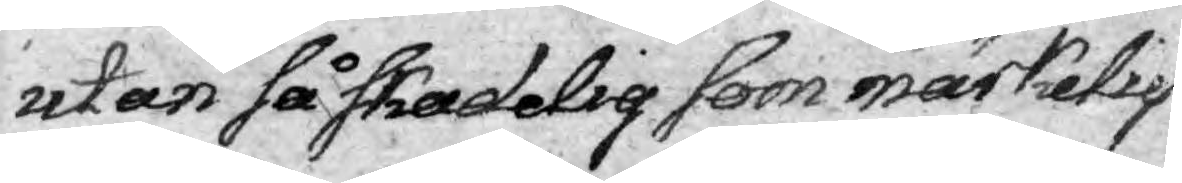utan så skadelig som märkelig
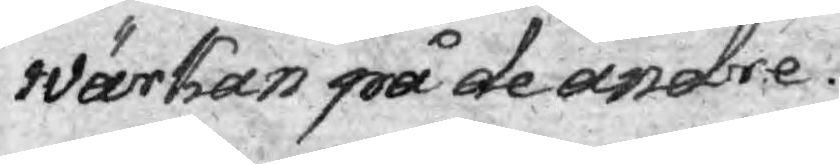wärkan på de andre.
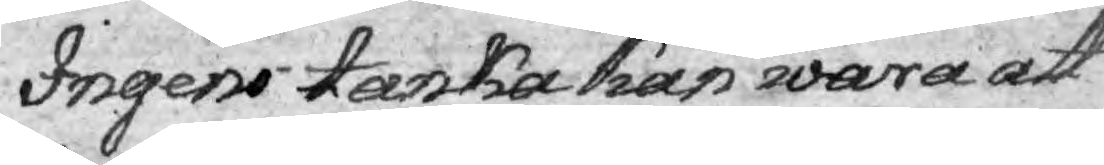Ingens tanka kan wara att
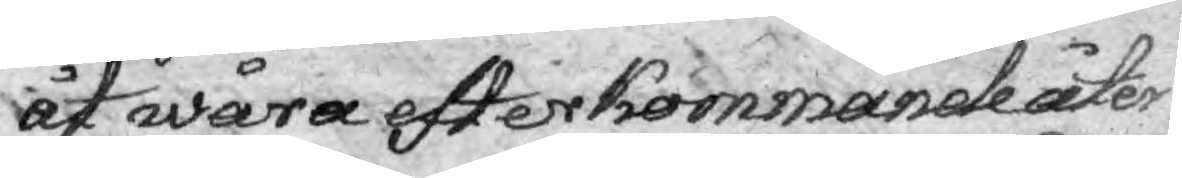åt wåra efterkommande åter
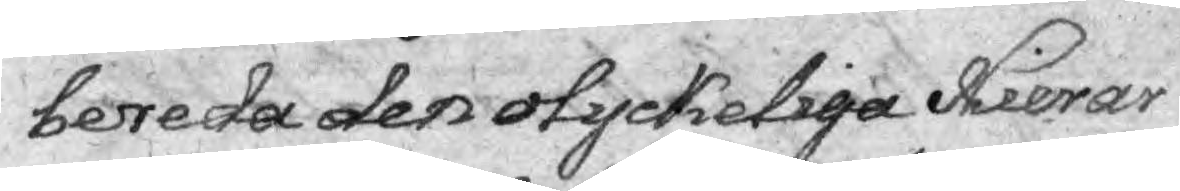bereda den olyckeliga Hierar¬
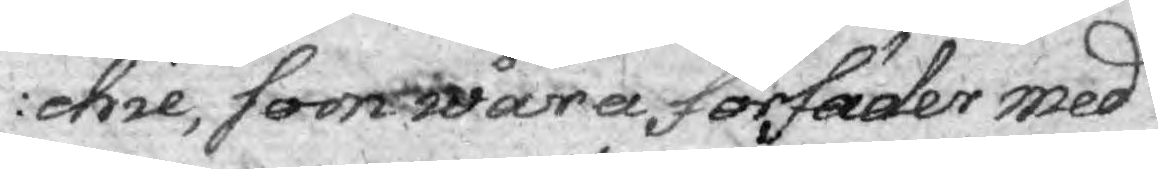chie, som wåra förfäder med
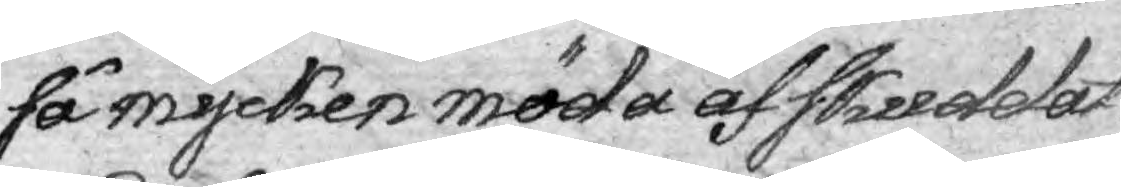så mycken möda afskuddat.
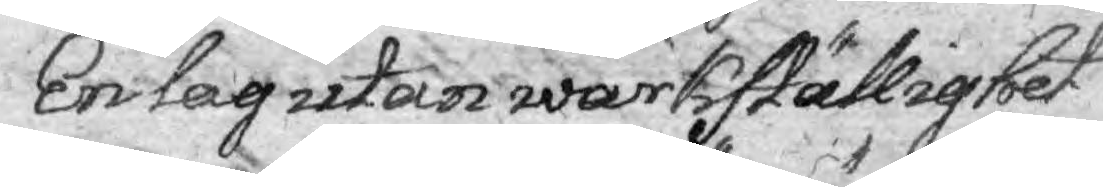En lag utan wärkställighet
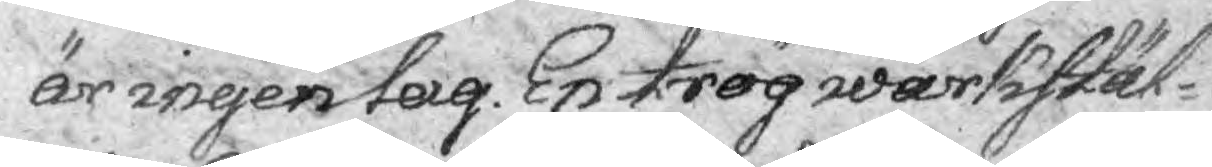är ingen lag. En trög wärkstäl¬
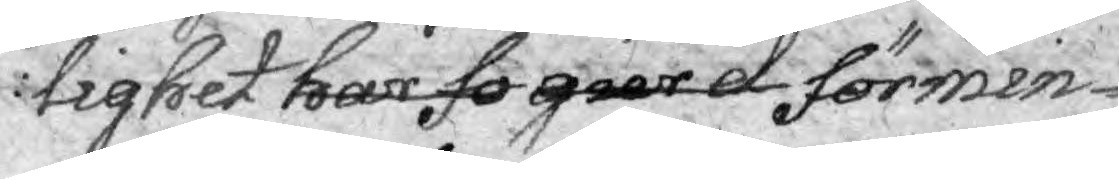lighet har fo gar d förmin-
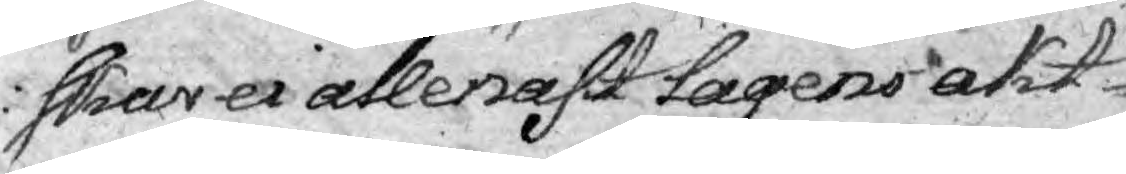skar ei ellenast lagens akt¬
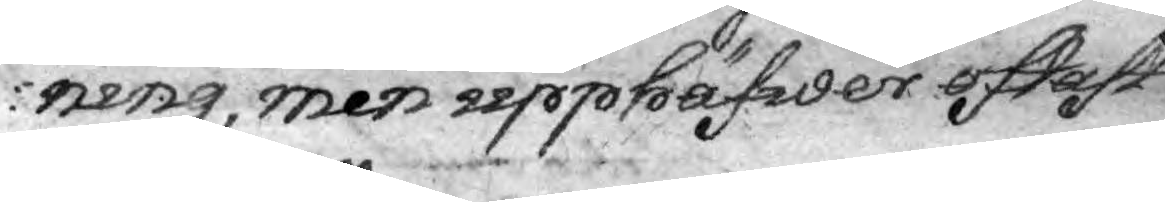ning, men upphäfwer oftast
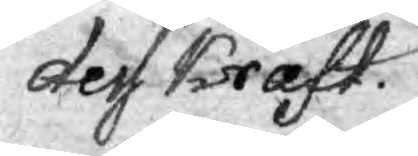dess kraft.
